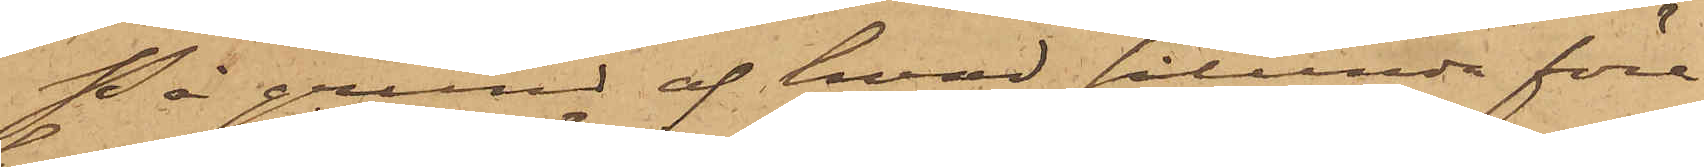På grund af hvad sålunda före¬
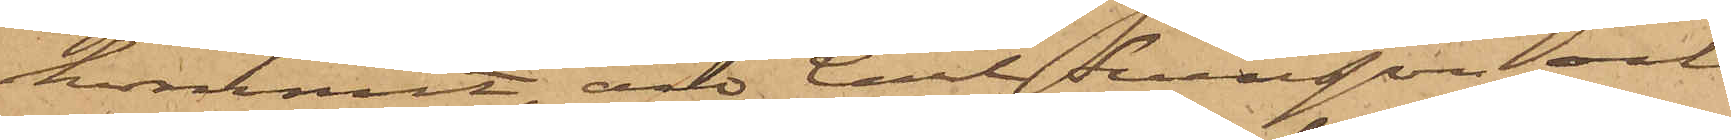kommit, äro Carl Svensson och
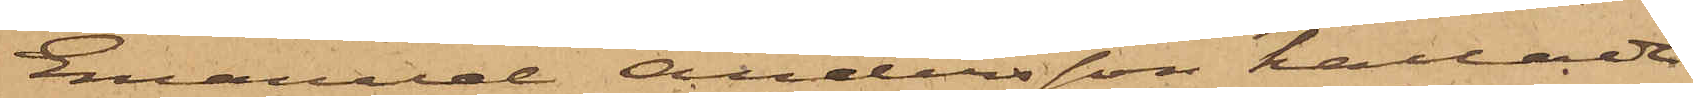Emanuel Andersson kallade
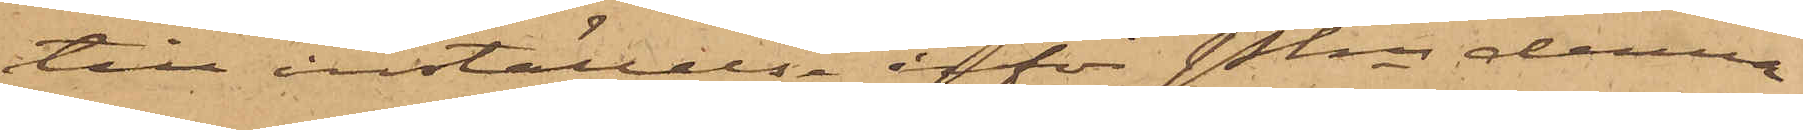till inställelse inför Pkn denna
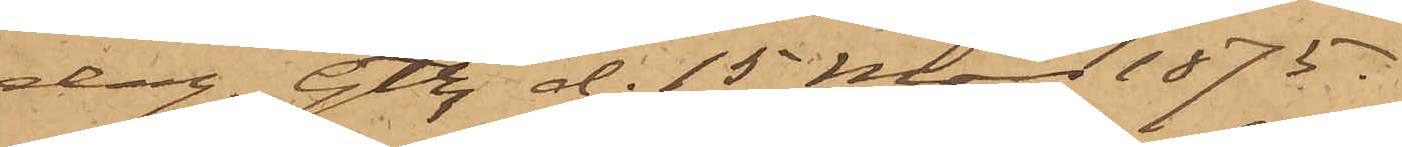dag. Gtbg d. 15 Mars 1875.
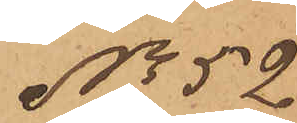No 52
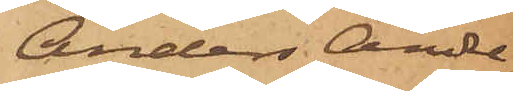Anders Andre¬
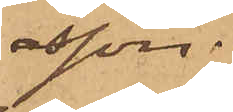asson.
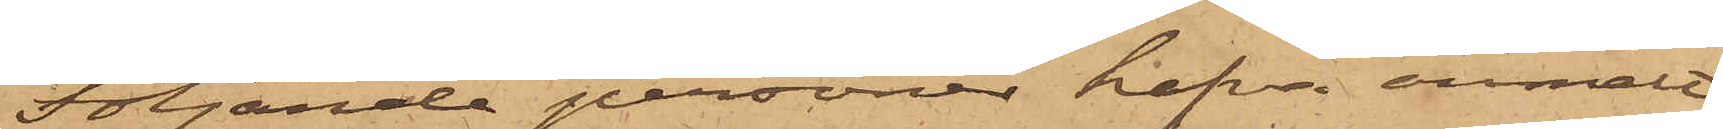Följande personer hafva anmält
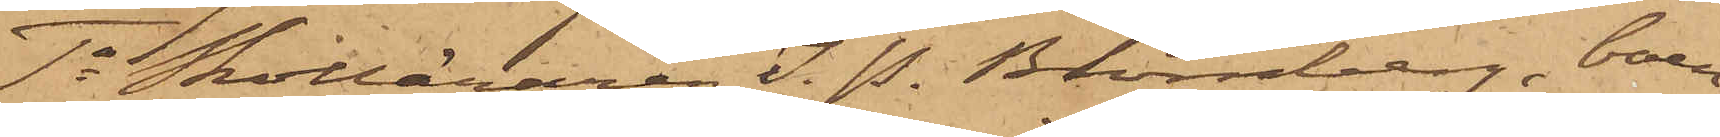1o Skolläraren I. P. Blomberg, boen¬
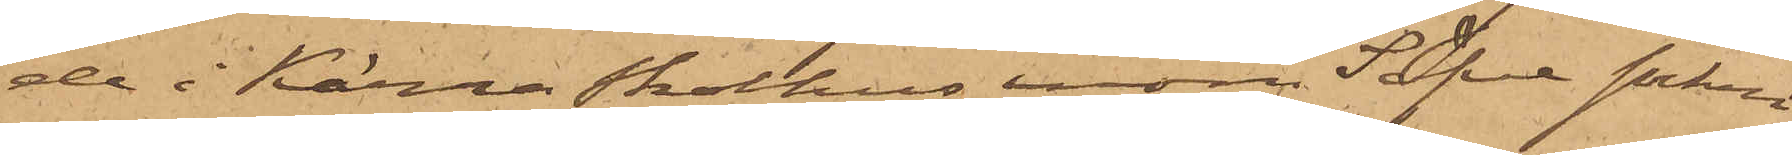de i Kärra Skolhus inom Säfve socken
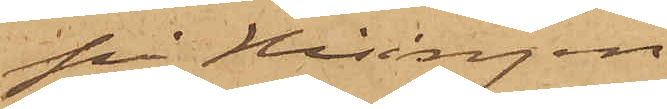på Hisingen,
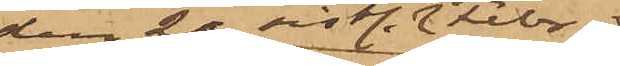den 20 sistl. Febr
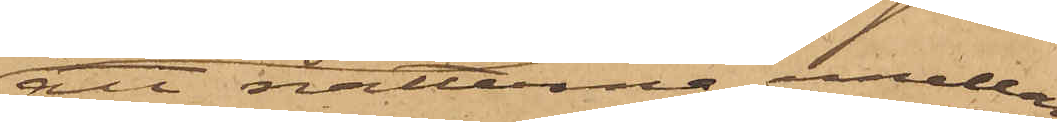att nätterna emellan
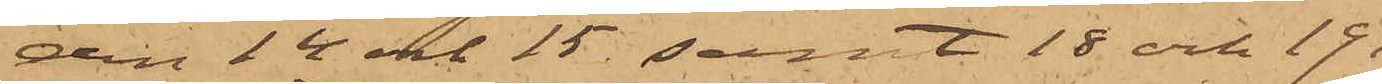den 14 och 15 samt 18 och 19
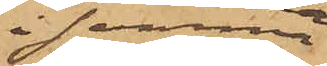i samma
